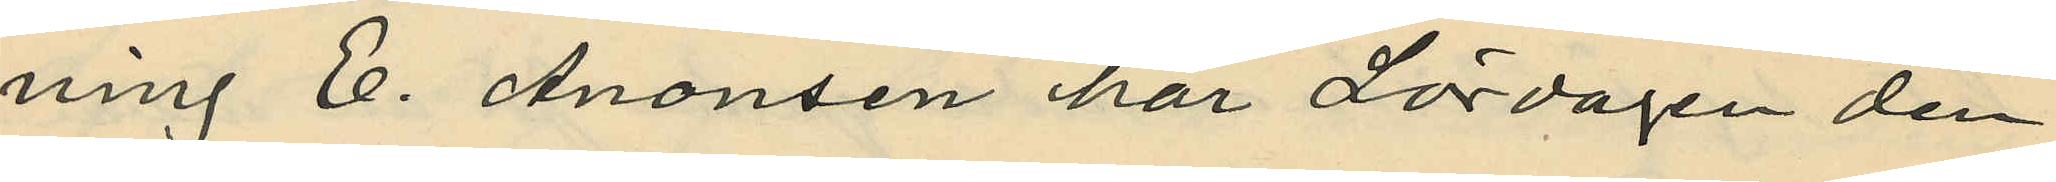ning E. Aronson har Lördagen den
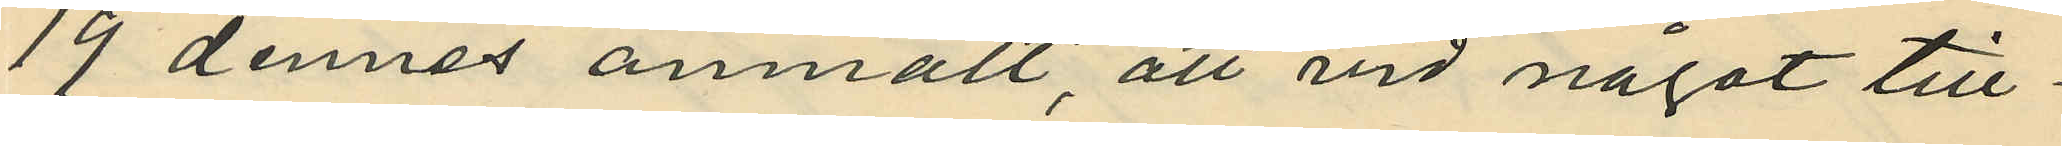19 dennes anmält, att vid något till¬
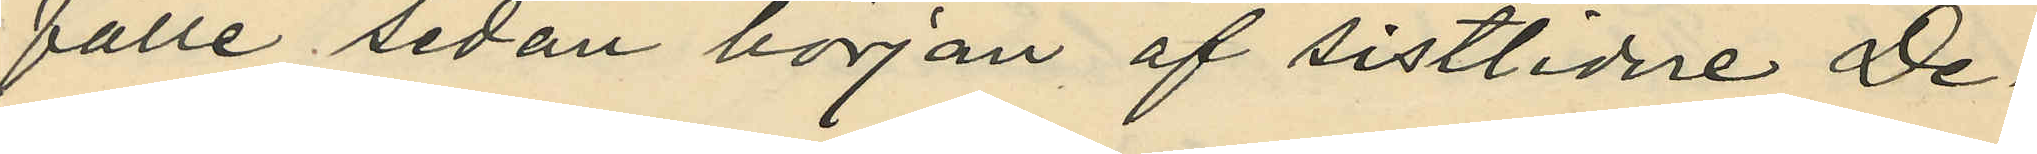fälle sedan början af sistlidne De¬
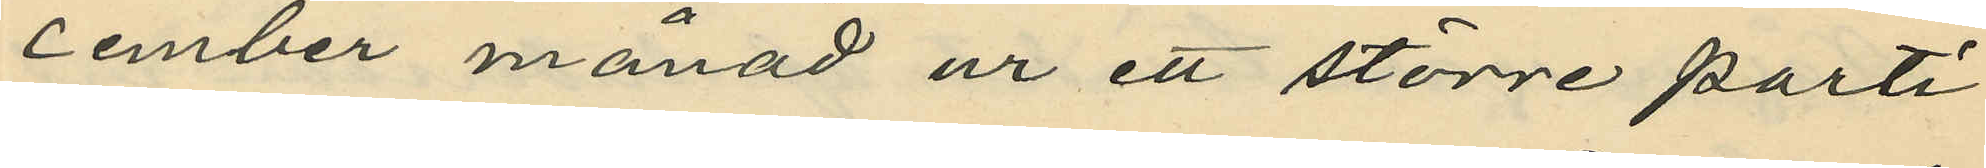cember månad ur ett större parti
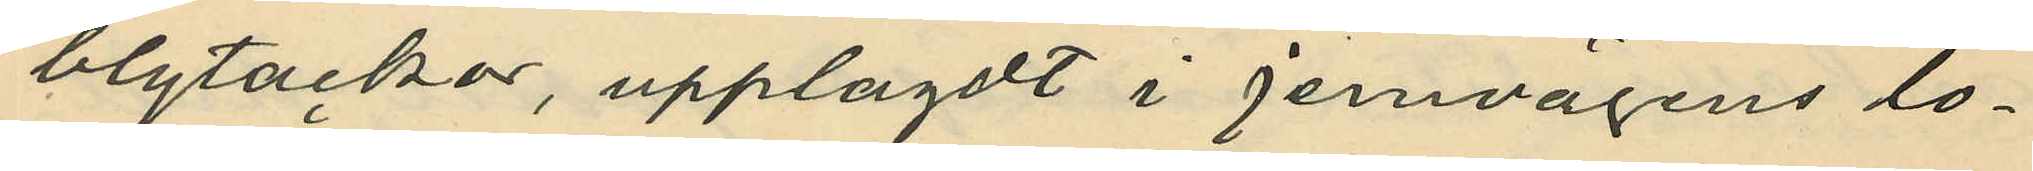blytackor, upplagdt i jernvägens lo¬
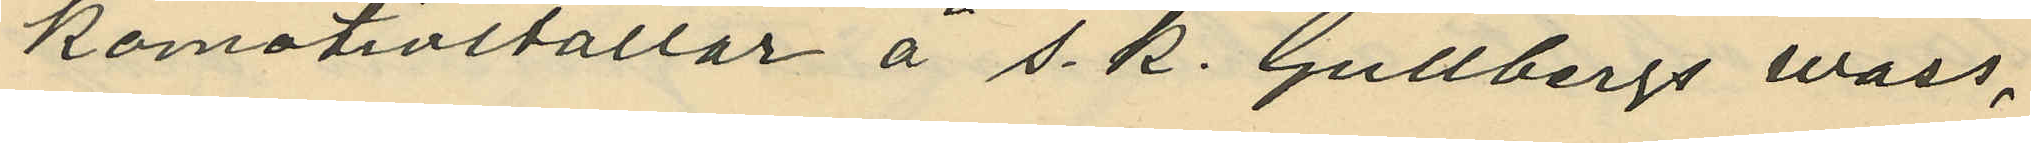komotivstallar å s. k. Gullbergs wass,
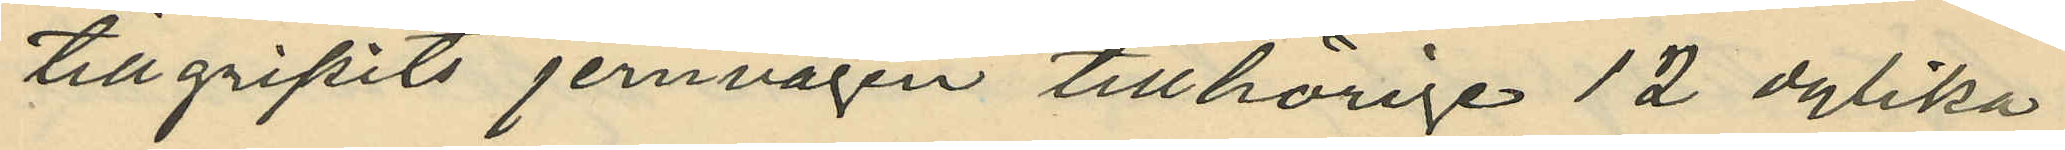tillgripits jernvägen tillhörige 12 dylika
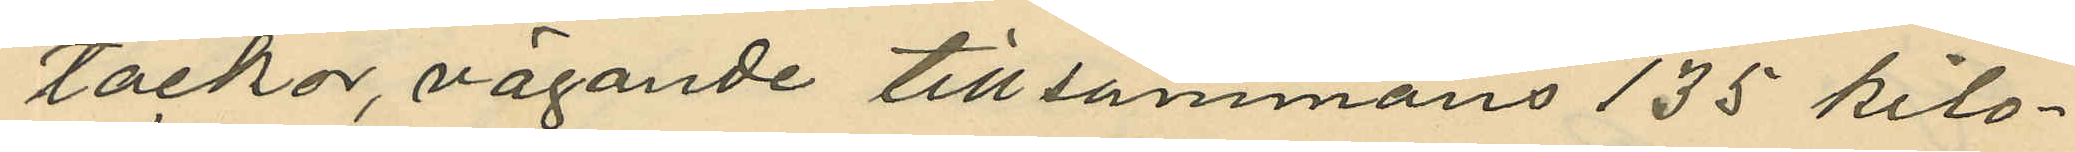tackor, vägande tillsammans 135 kilo¬
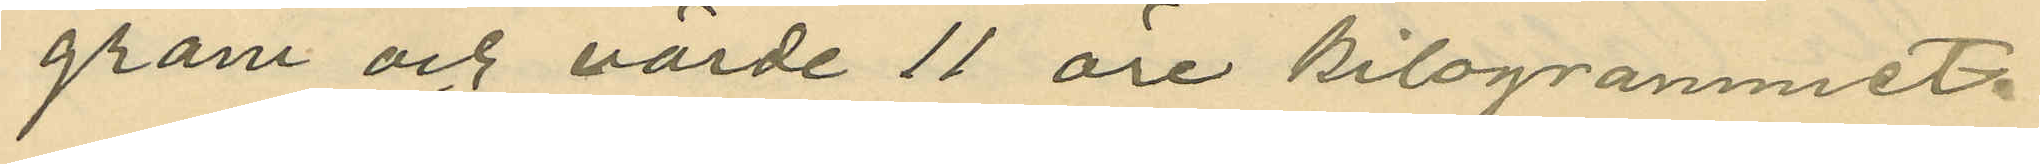gram och värde 11 öre kilogrammet.
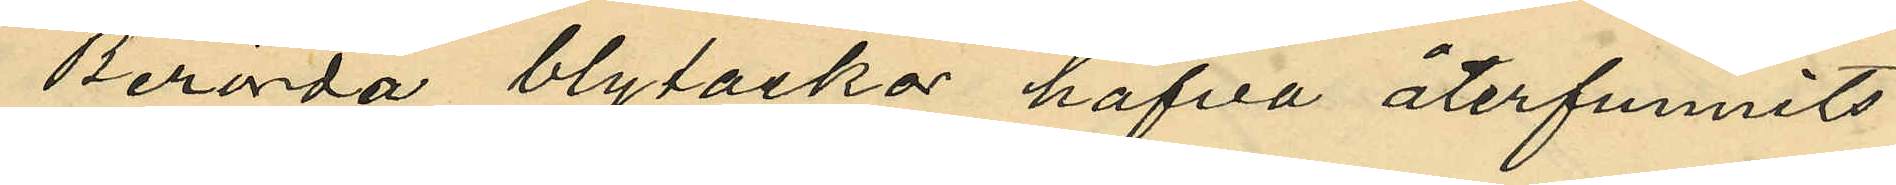Berörda blytackor hafva återfunnits
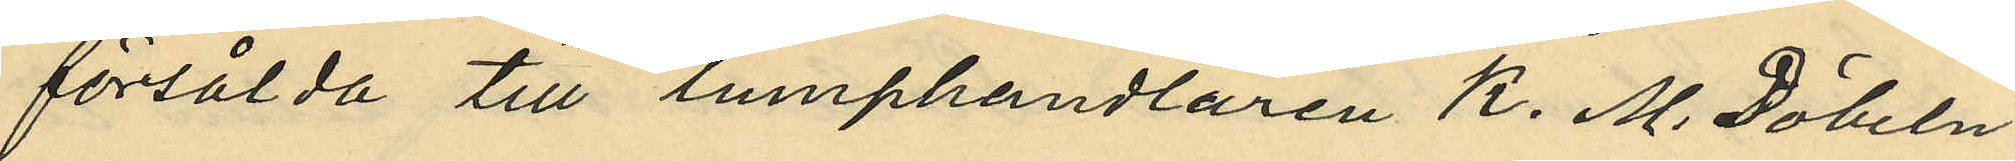försålda till lumphandlaren K. M. Döbeln
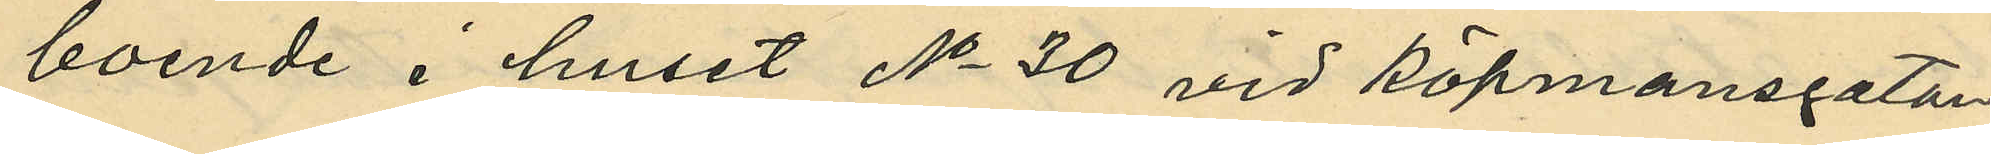boende i huset No 30 vid Köpmansgatan
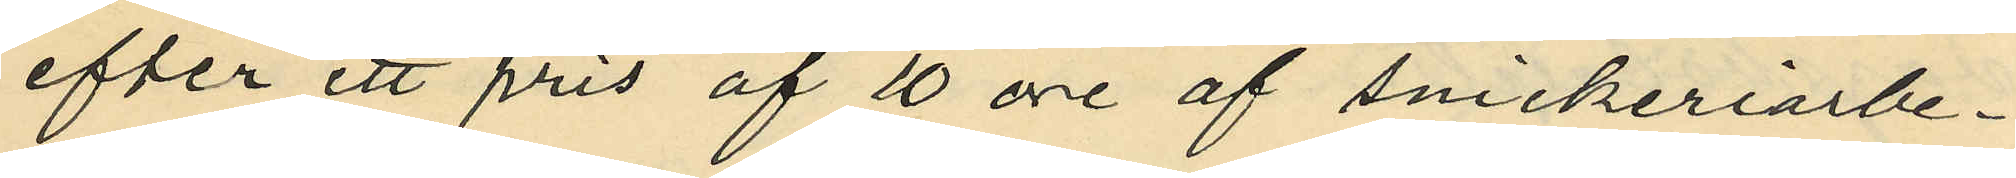efter ett pris af 10 öre af snickeriarbe¬
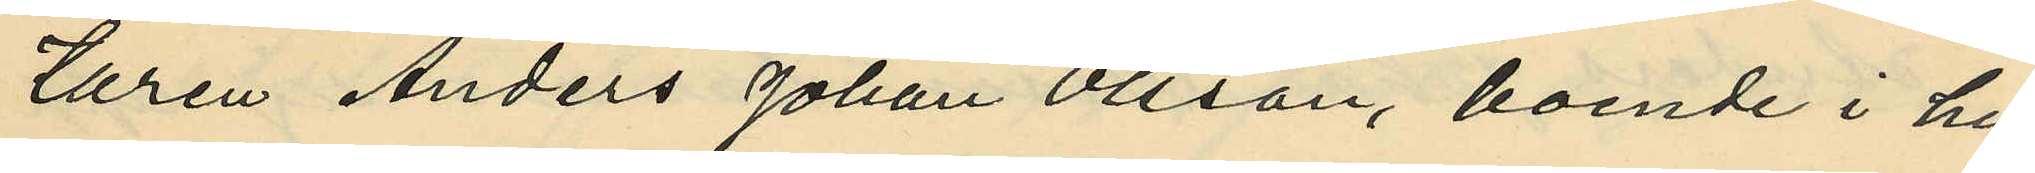taren Anders Johan Olsson, boende i hu¬
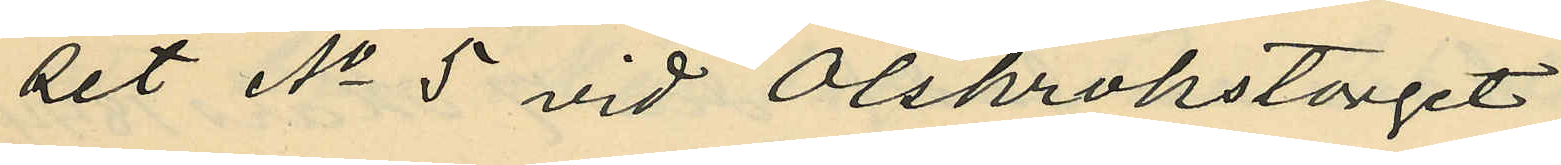set No 5 vid Olskrokstorget.
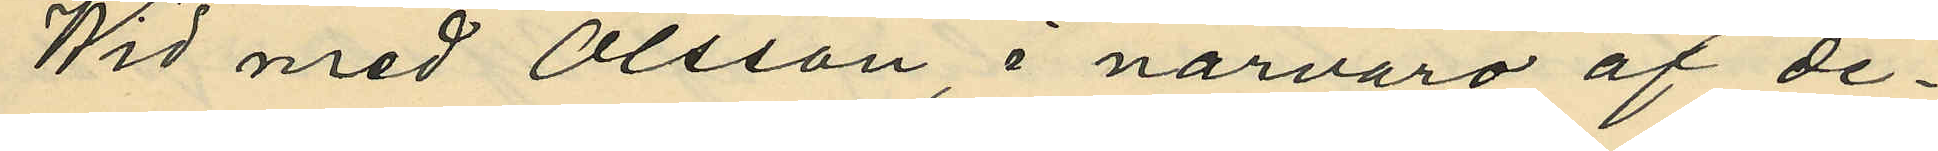Wid med Olsson, i närvaro af de¬
